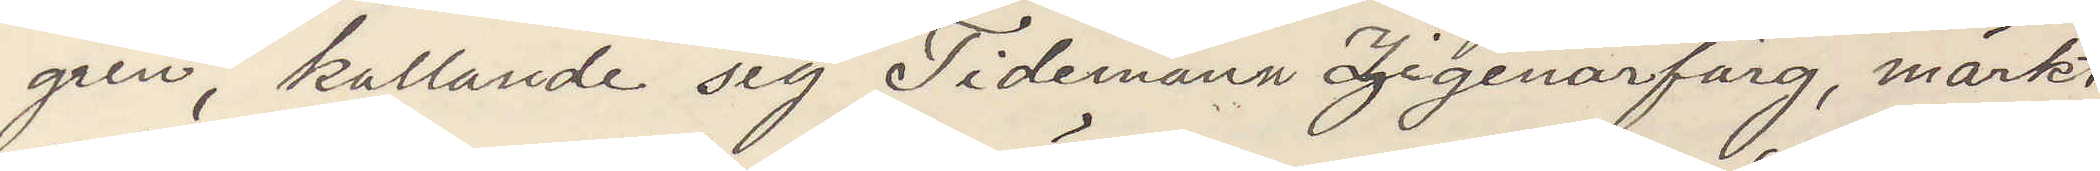gren, kallande sig Tidemann Zigenarfärg, märkt
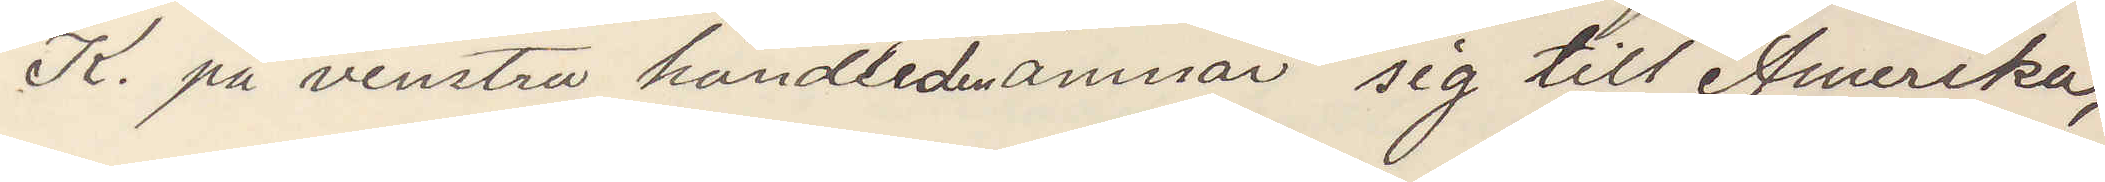K. på venstra handleden ämnar sig till Amerika,
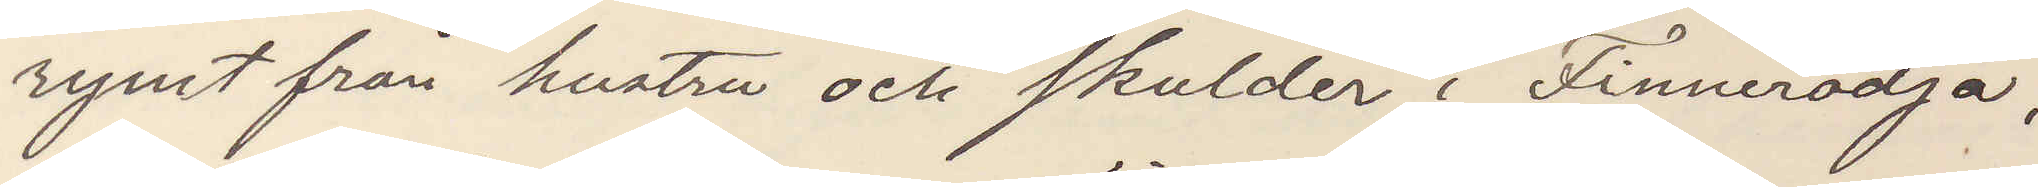rymt från hustru och skulder i Finnerödja;
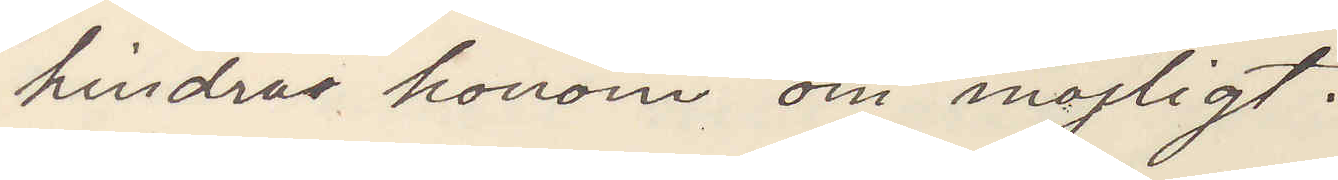hindras honom om möjligt.
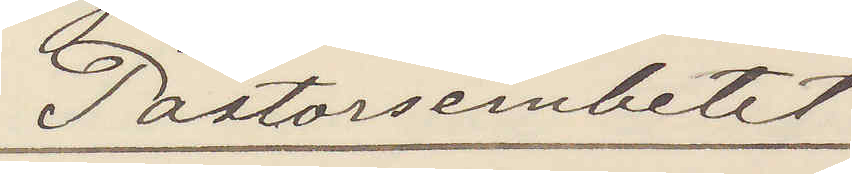Pastorsembetet
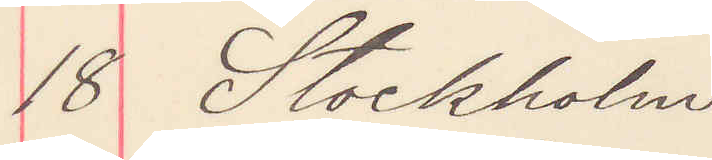18 Stockholm
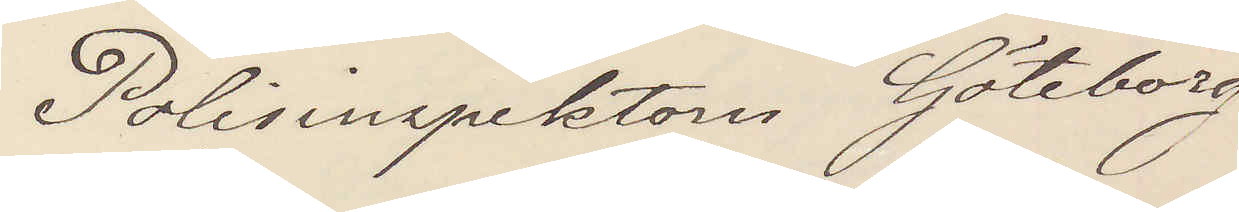Polisinspektorn Göteborg
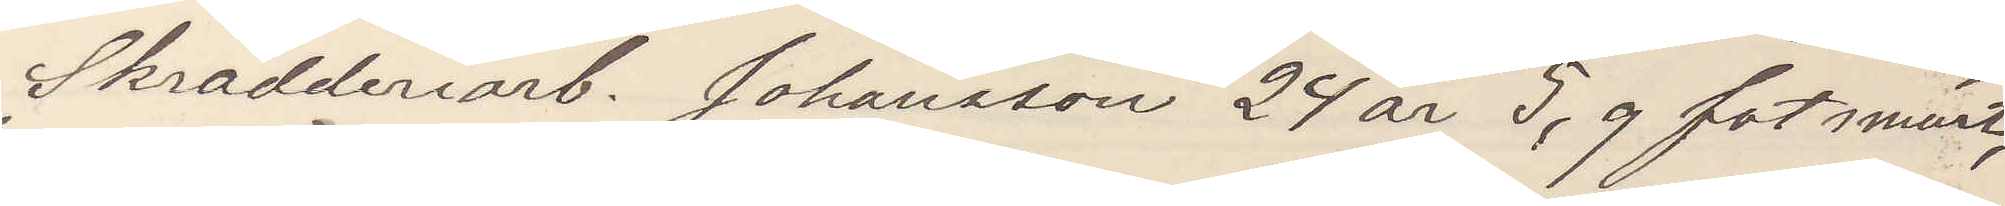Skrädderiarb. Johansson 24 år 5,9 fot smärt,
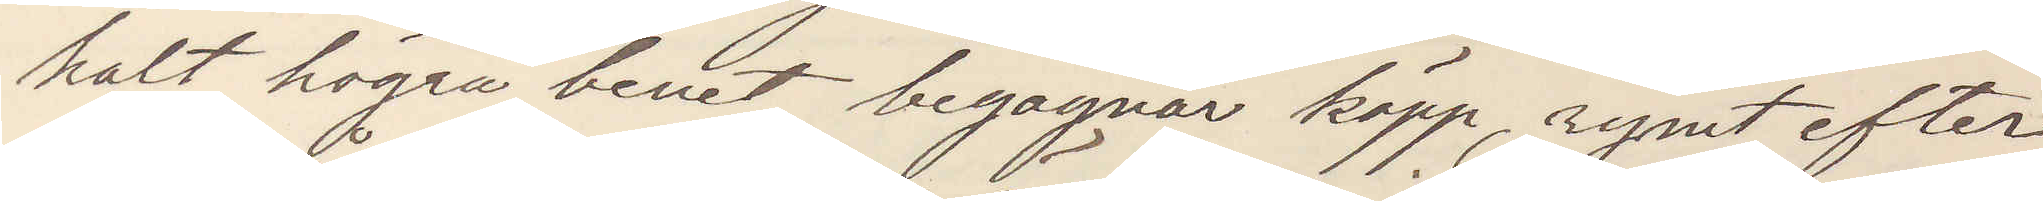halt högra benet, begagnar käpp, rymt efter
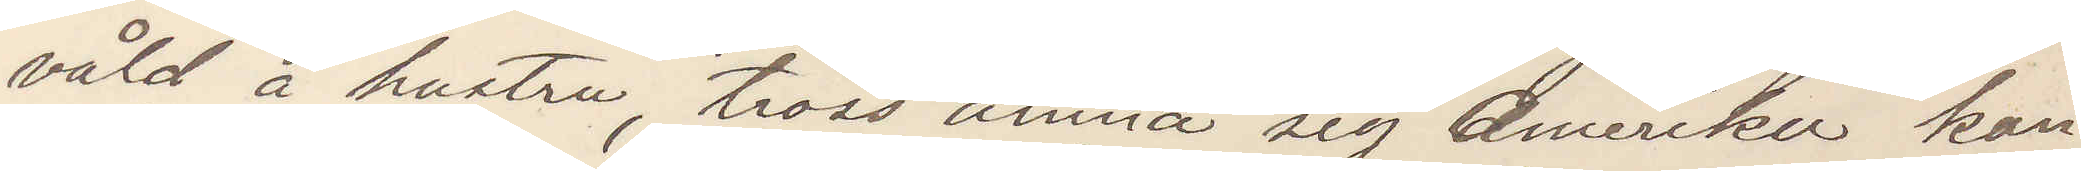våld å hustru, tross ämna sig Amerika kan
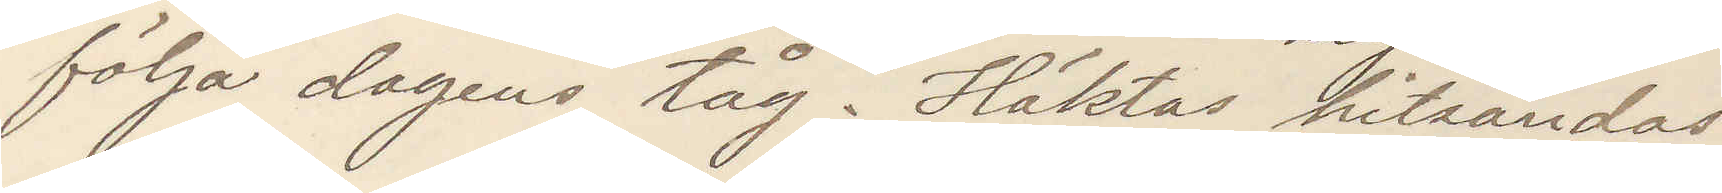följa dagens tåg. Häktas hitsändas.
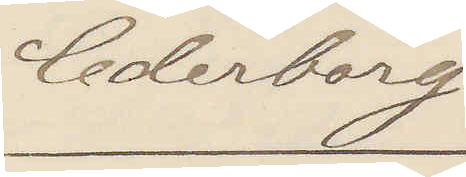Cederborg.
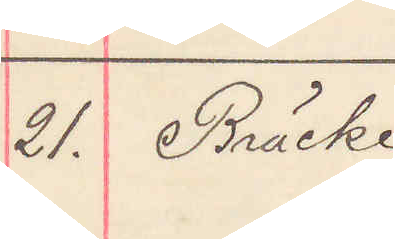21. Bräcke
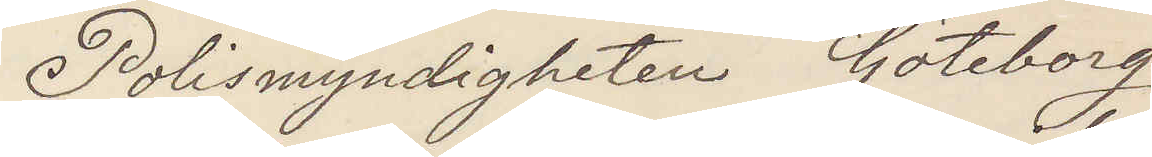Polismyndigheten Göteborg
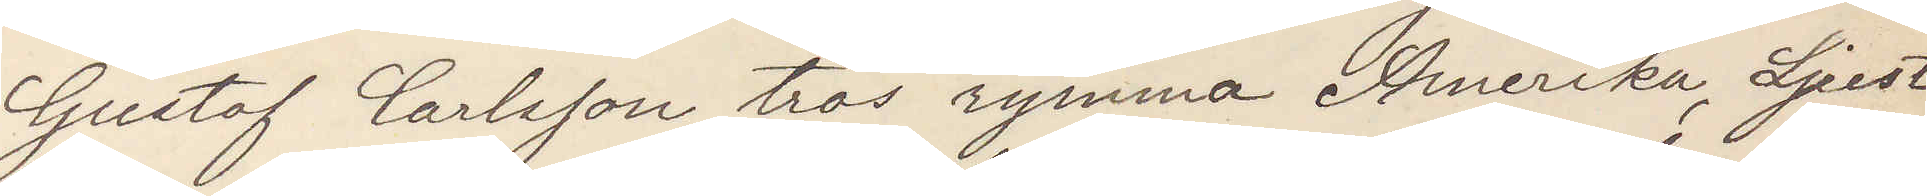Gustaf Carlsson tros rymma Amerika, Ljust
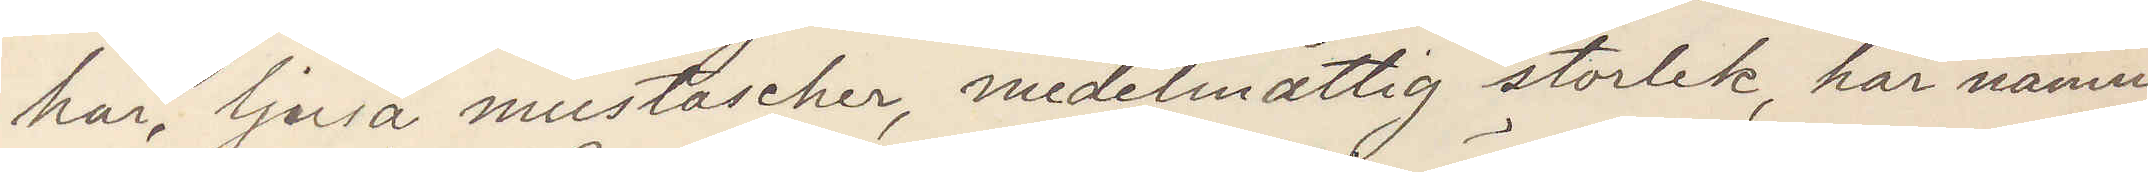hår, ljusa mustascher, medelmåttig storlek, har nämn¬
